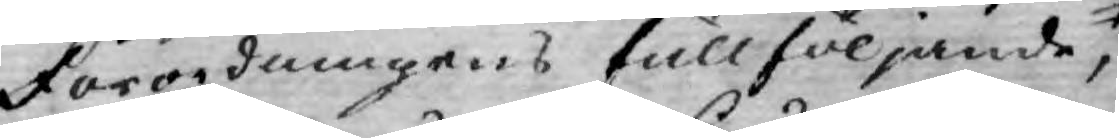Förordningens fullföljande,
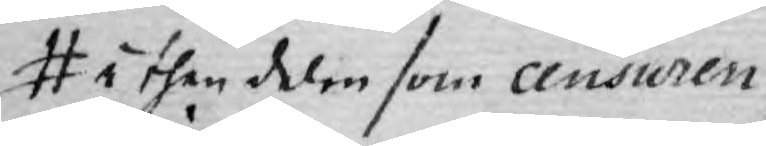i then delen som censuren
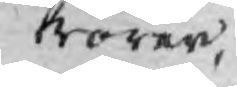börer
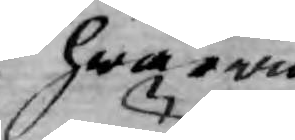hwarwid
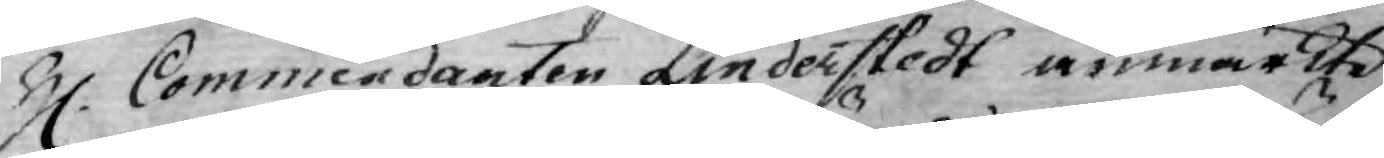H. Commendanten Linderstedt anmärkte
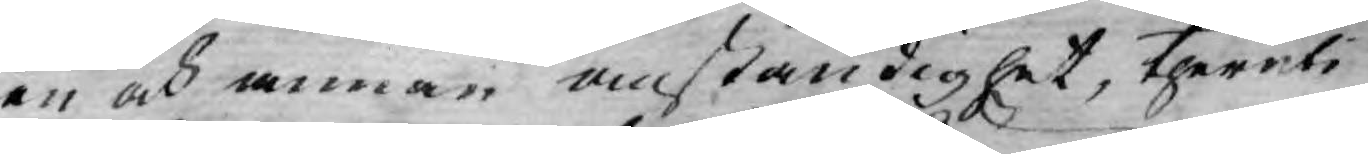en och annan anständighet, theruti
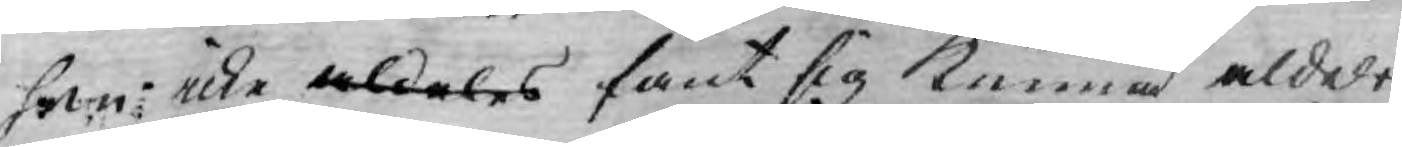han icke aldeles fant sig kunna aldeles
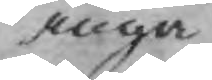ingå
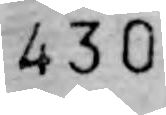430
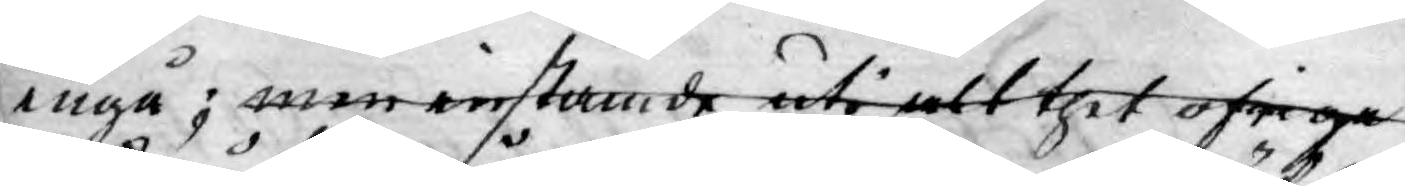ingå; men instämde uti att thet öfriga
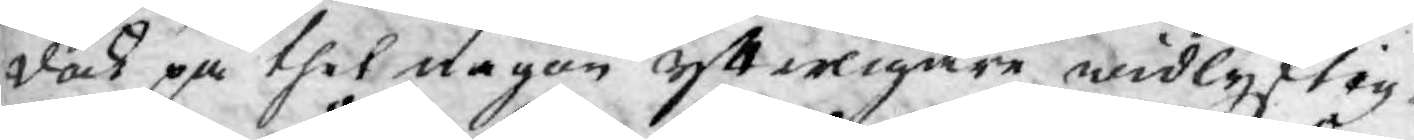dock på thet någon ytterligare widlyftig¬
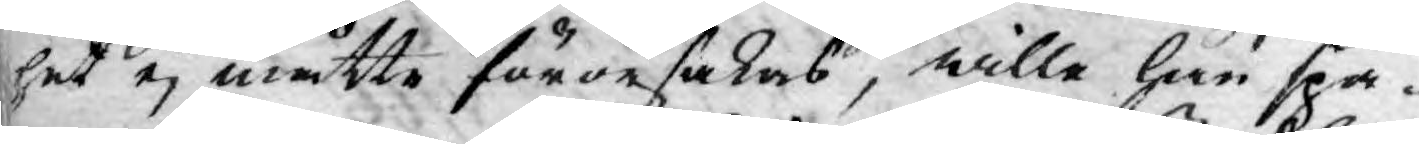het ej måtte förorsakas, wille han spa¬
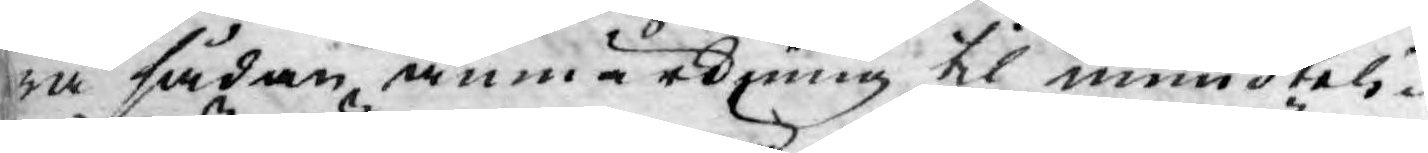ra sådan anmärkning til mundteli¬
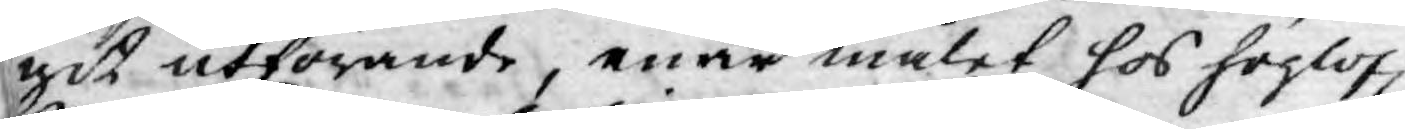git utförande, enär målet hos höglofl.
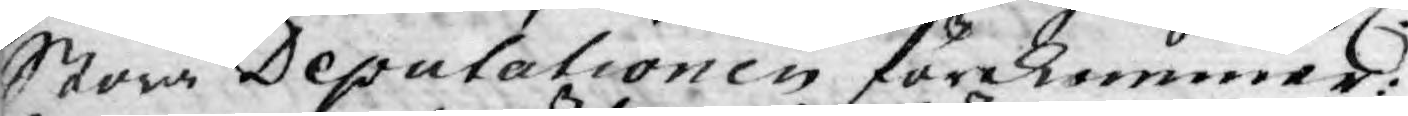Stora Deputationen förekommer:
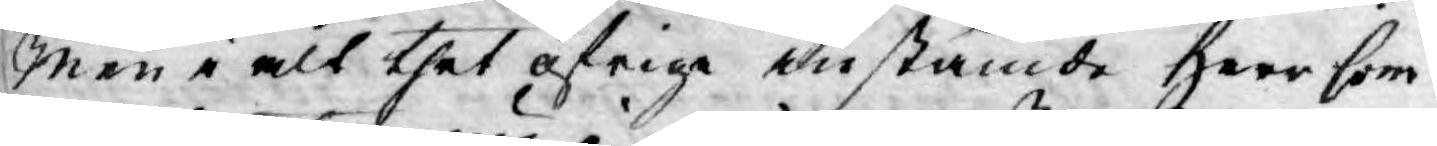Men i alt thet öfrige anstämde Herr Com¬
